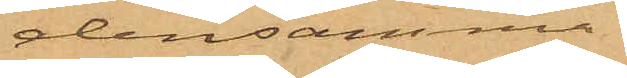densamma.
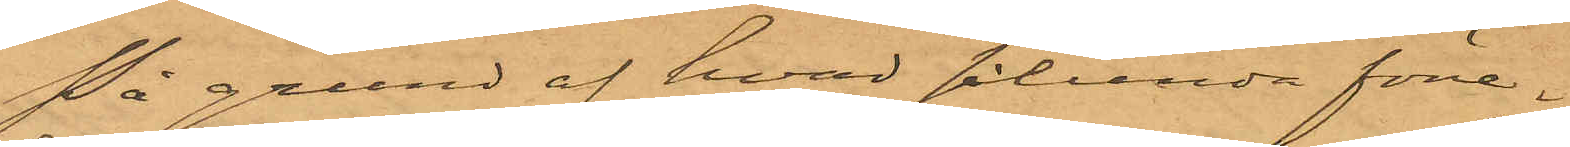På grund af hvad sålunda före¬
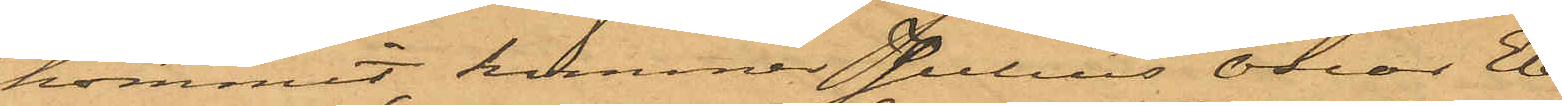kommit, kommer Julius Oscar Eb¬
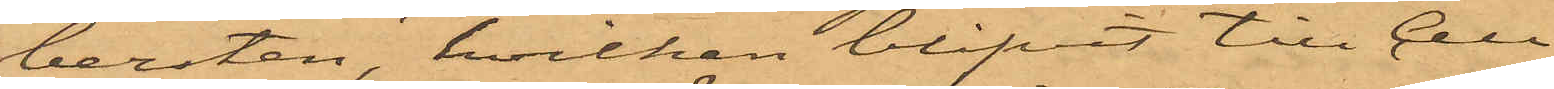bersten, hvilken blifvit till Cell¬
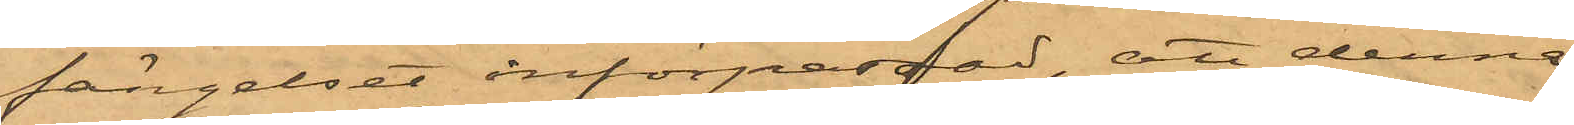fängelset införpassad, att denna
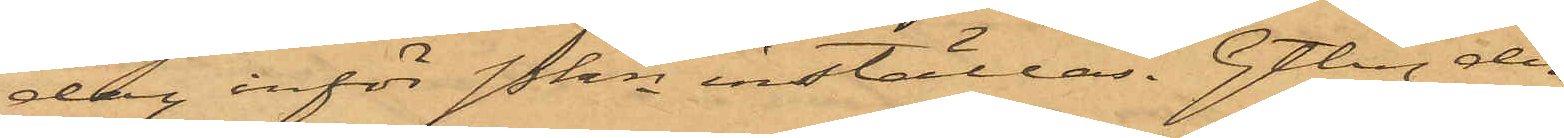dag inför Pkn inställas. Gtbg den
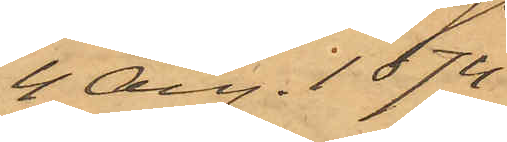4 Aug. 1874.
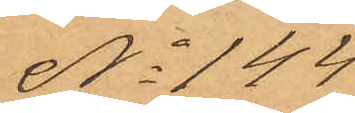No 144
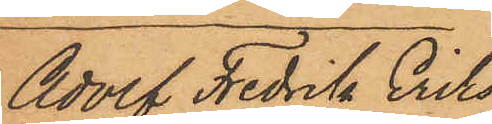Adolf Fredrik Eriks¬
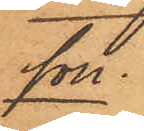son
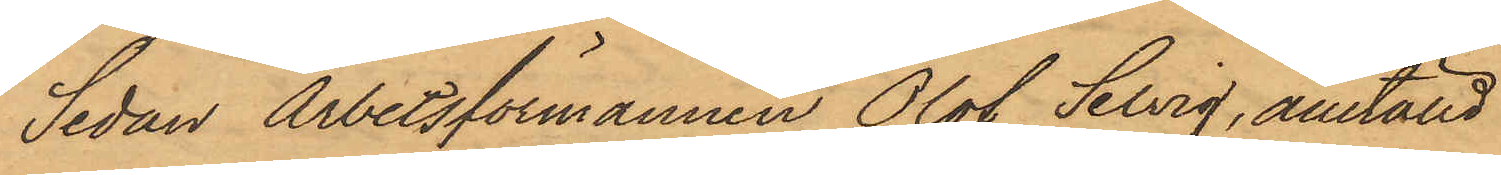Sedan Arbetsförmannen Olof Selvig, anställd
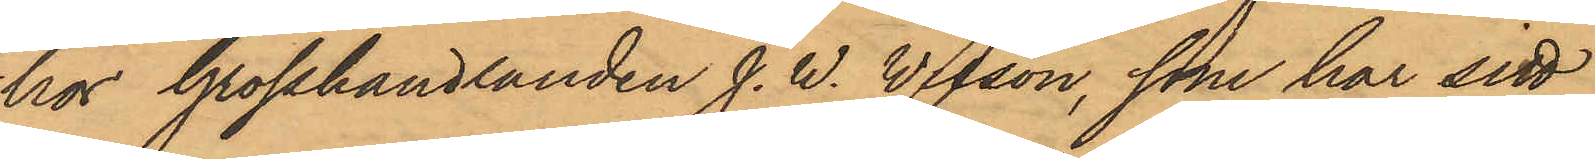hos Grosshandlanden J. W. Wilson, som har sitt
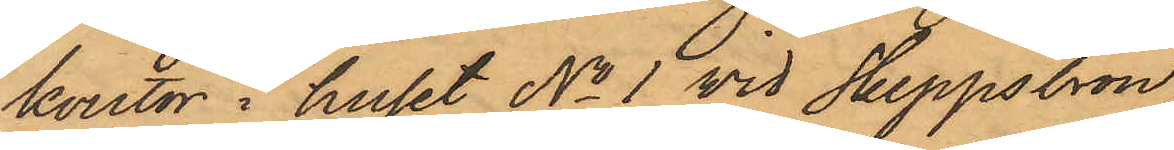kontor i huset No 1 vid Skeppsbron,
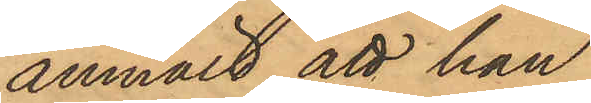anmält, att han
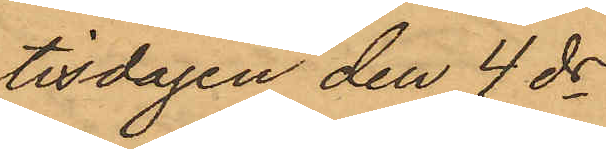tisdagen den 4 ds
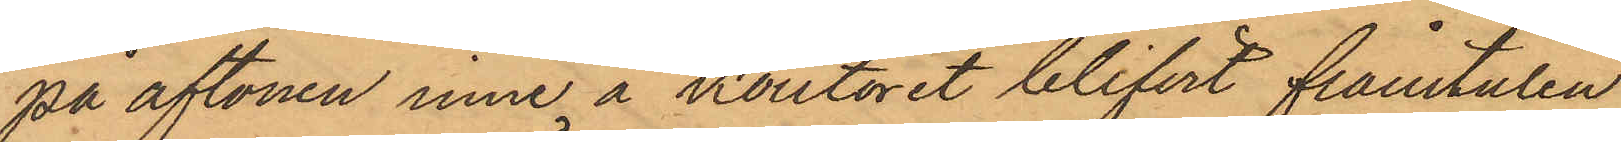på aftonen inne å kontoret blifvit frånstulen
